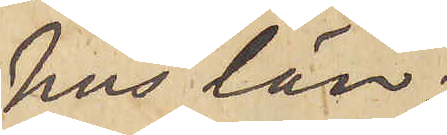hus län;
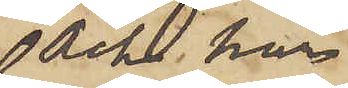och har
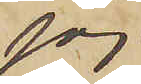jag
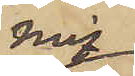mig
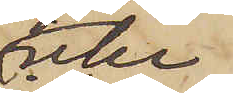icke
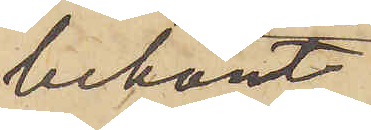bekant
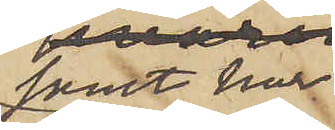samt har
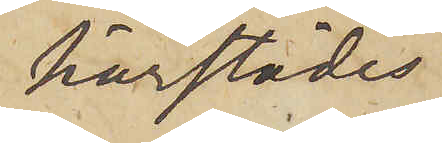härstädes
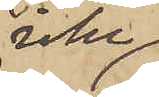icke
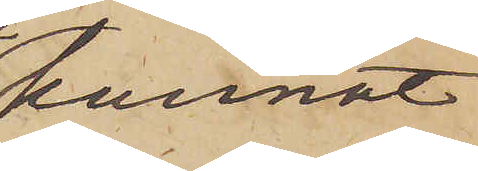kunnat
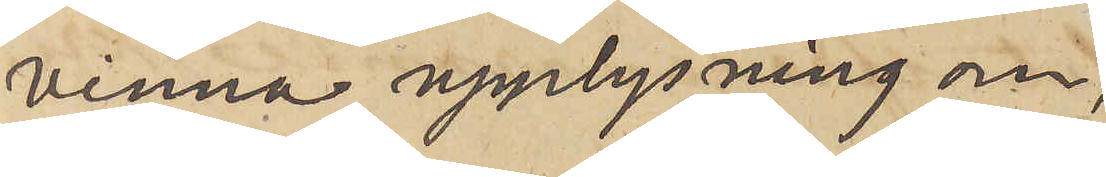vinna upplysning om,
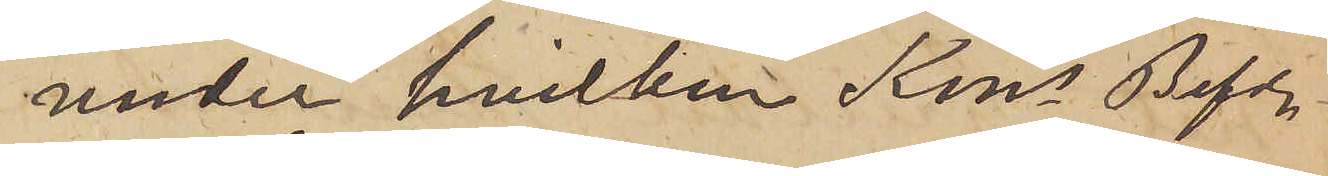under hvilken Kongs Befs
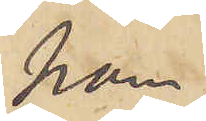han
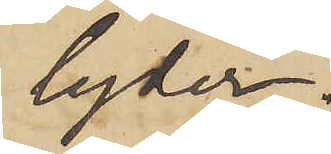lyder.
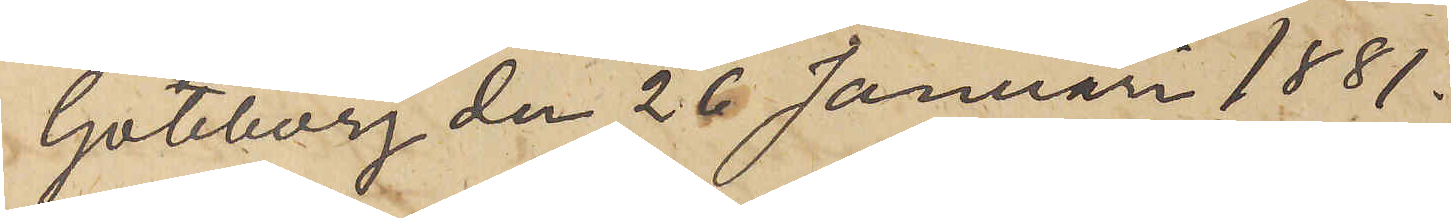Göteborg den 26 Januari 1881.
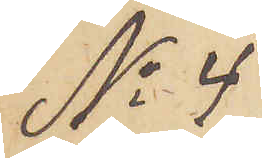No 4
